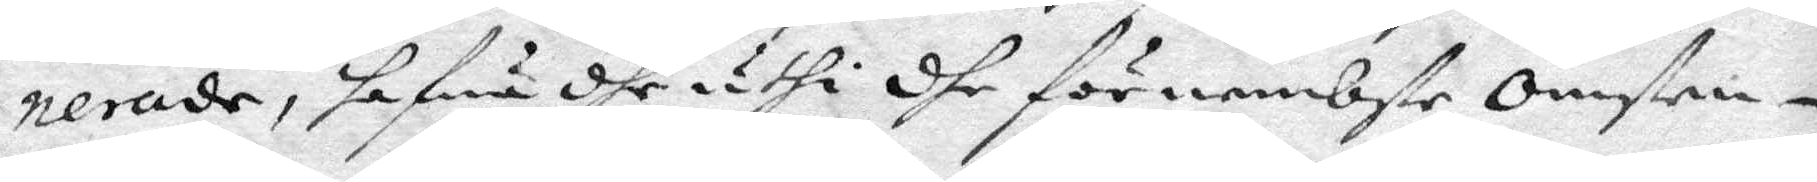nerade, hafwa dhe uthi dhe förnembste Omsten¬
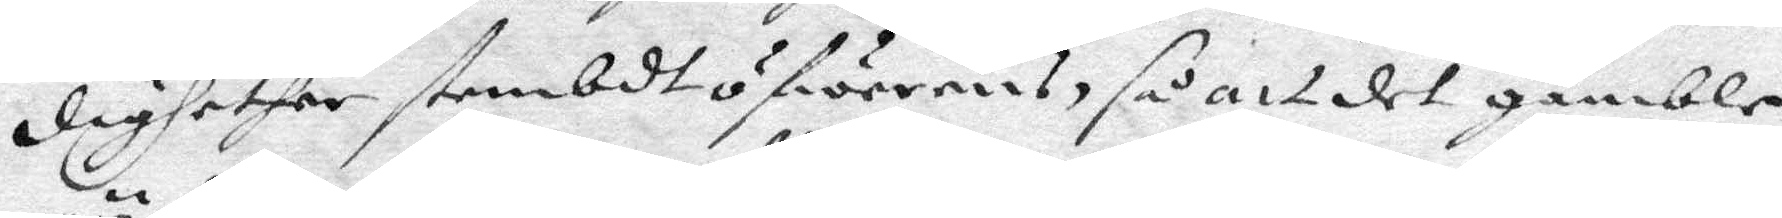dighether sambdt ofwerens, så att det gamble
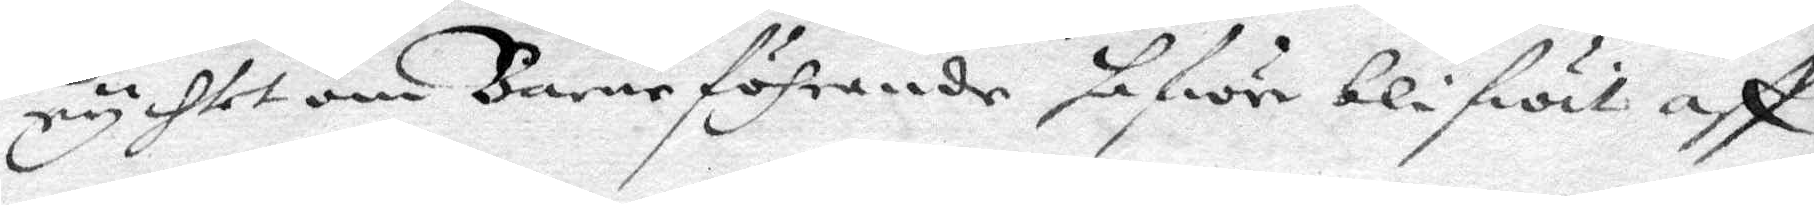rychtet om Barnföhrande hafwer blifwit aff
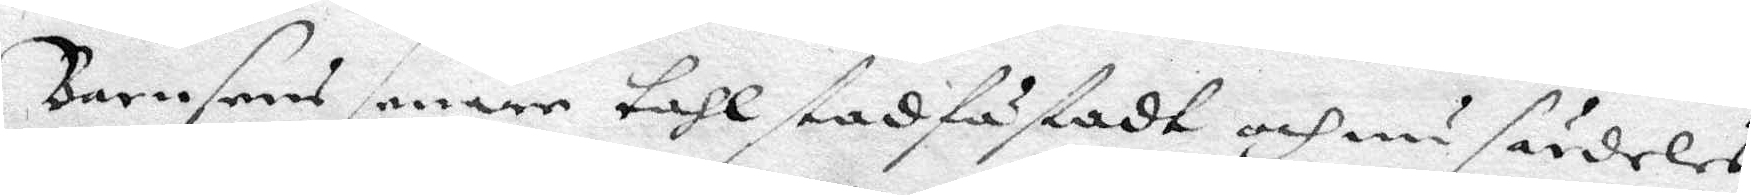Barnens senare tahl stadfastadt och nu särdeles
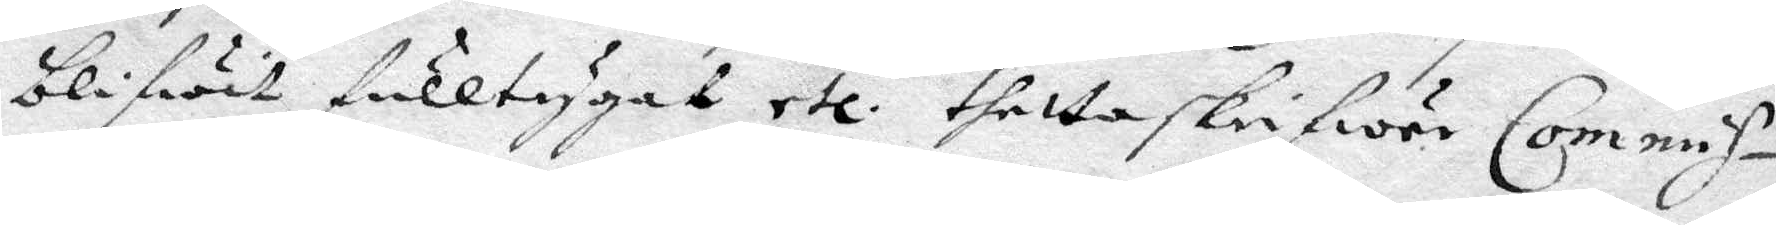blifwit fulltygat etc. thetta skrifwer Commis¬
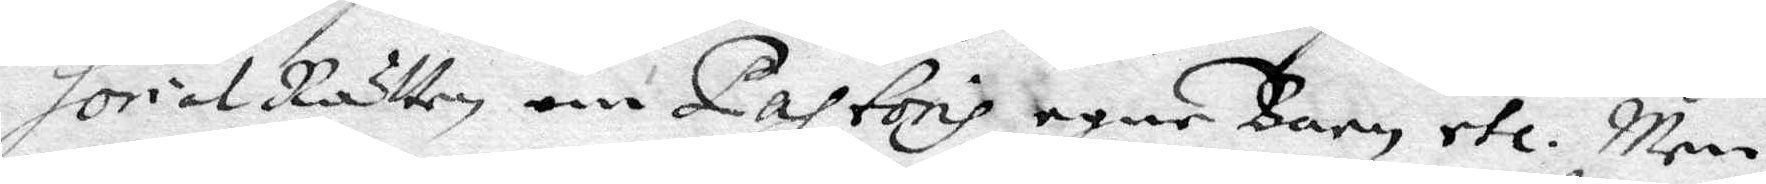sorial Rätten om Pastoris egne Barn etc. Men
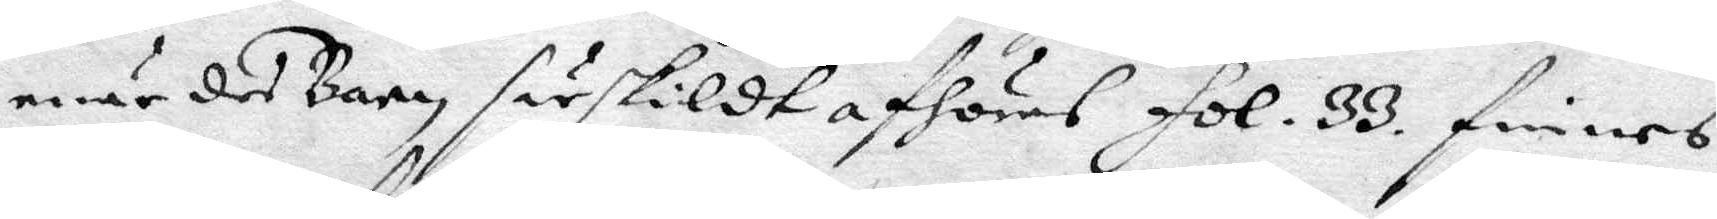när des Barn särskildt afhöres fol. 33. finnes
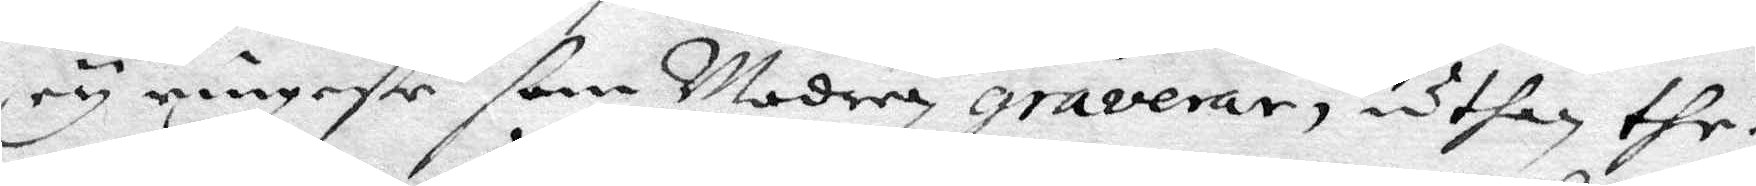ey ringaste som Modern graverar, uthan the
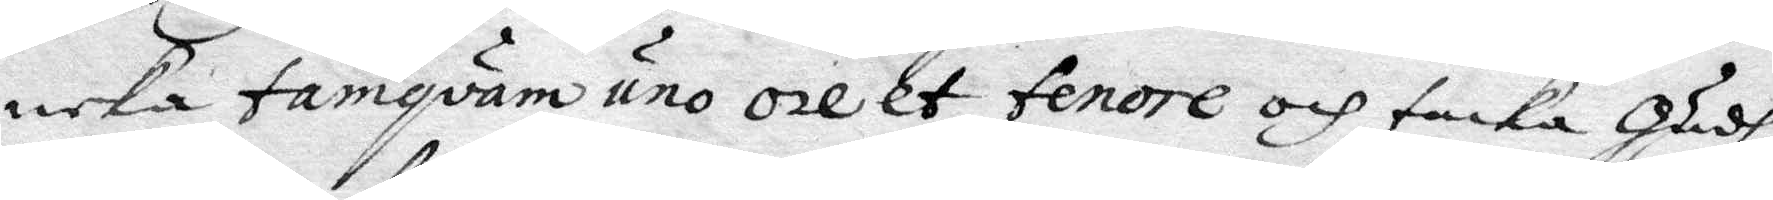neka tamqväm uno ore et fenore och tacka Gudh
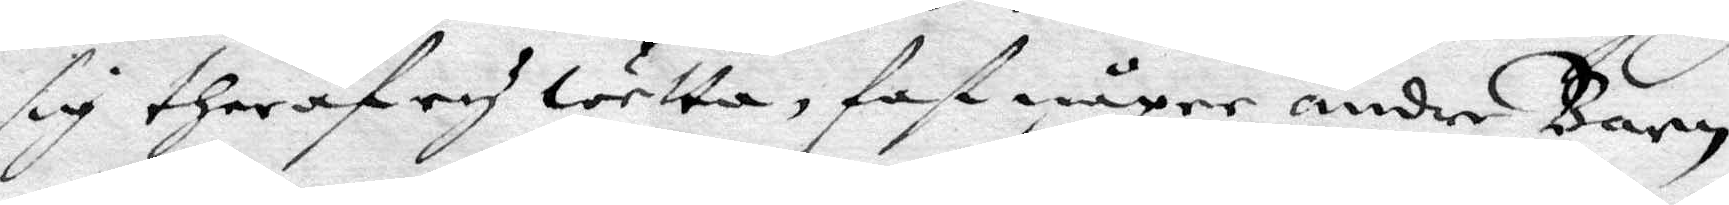sig theraf ey wetta, fast någre andre barn
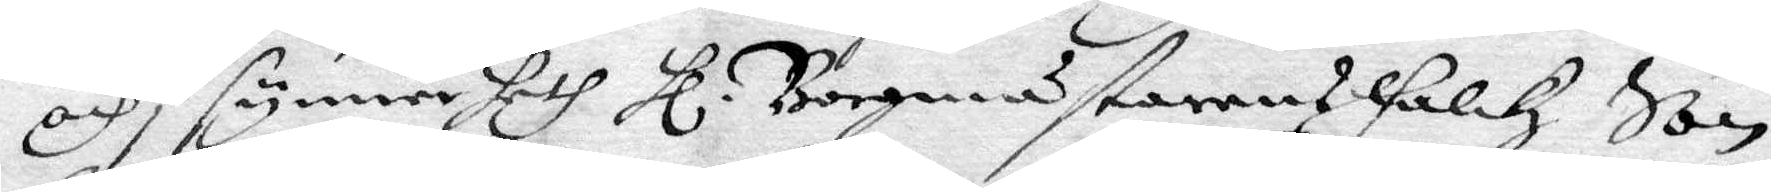och i synnerheth Hl. Borgmästarens Falkz Son
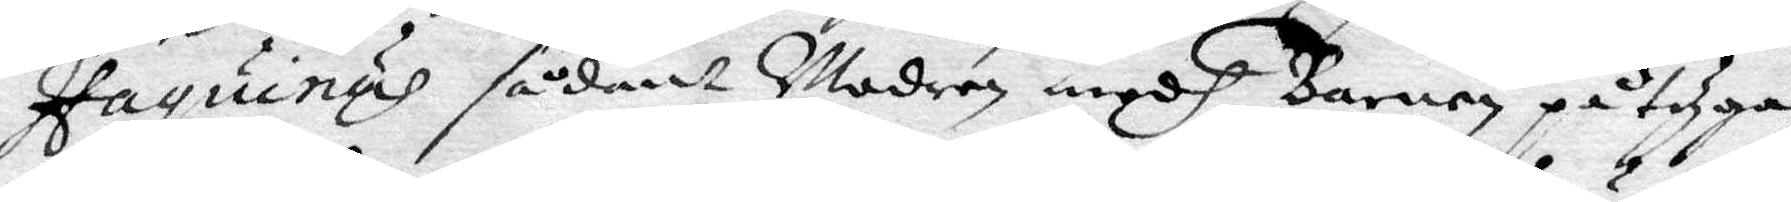Haquinus sådant Modren medh Barnen påtyga
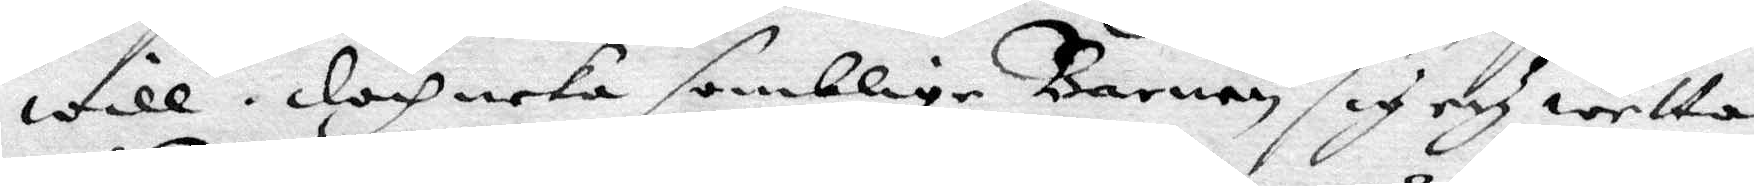will. doch neka samblige barnen sig och wetta
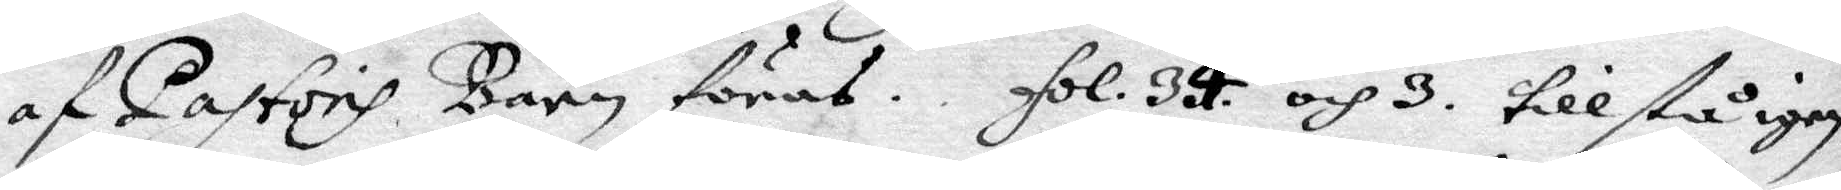af Pastoris barn föras. fol. 34. och 3. till stå igen
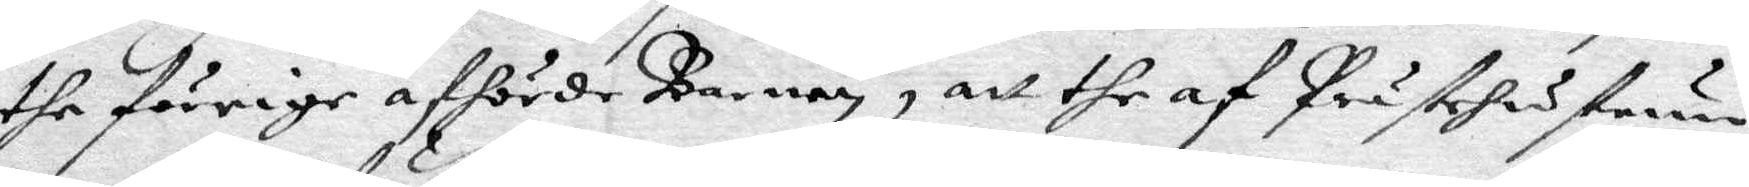the förrige afhörde barnens, att the af Prästehustrun
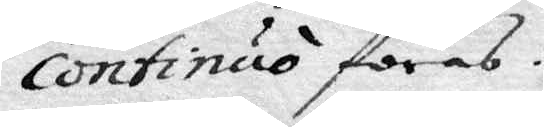continuo föras.
